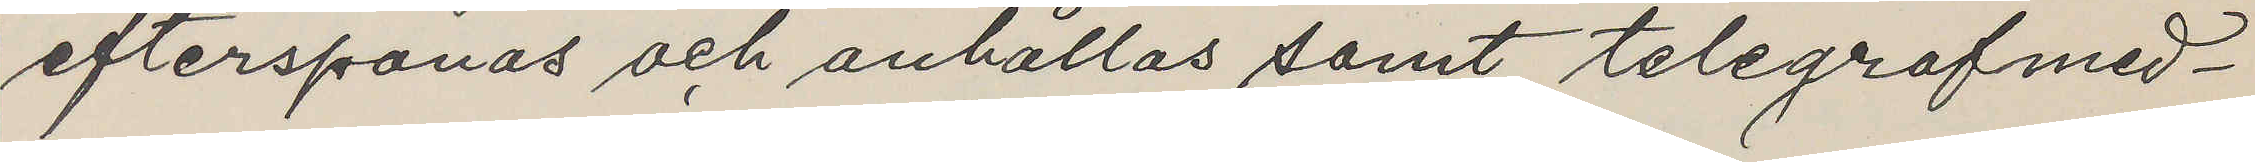efterspanas och anhållas samt telegrafmed¬
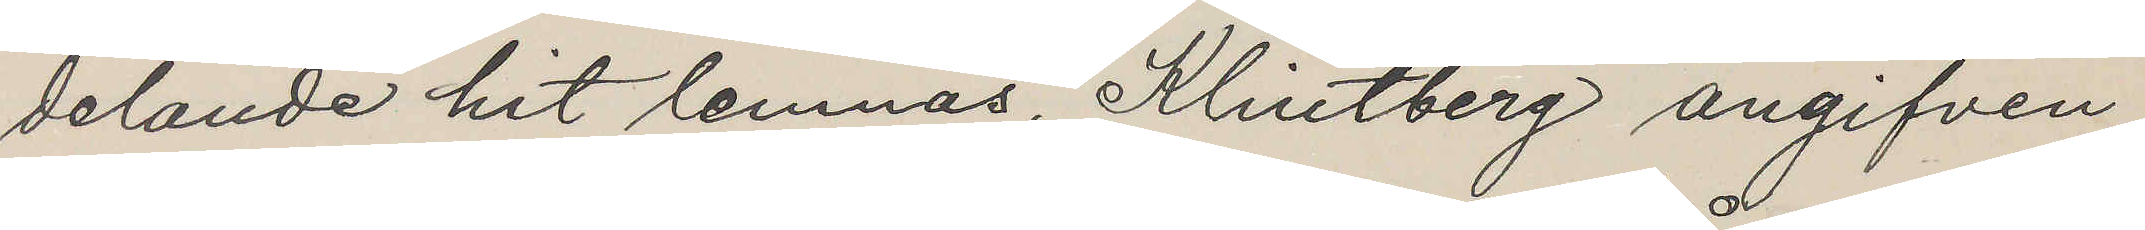delande hit lemnas, Klintberg angifven
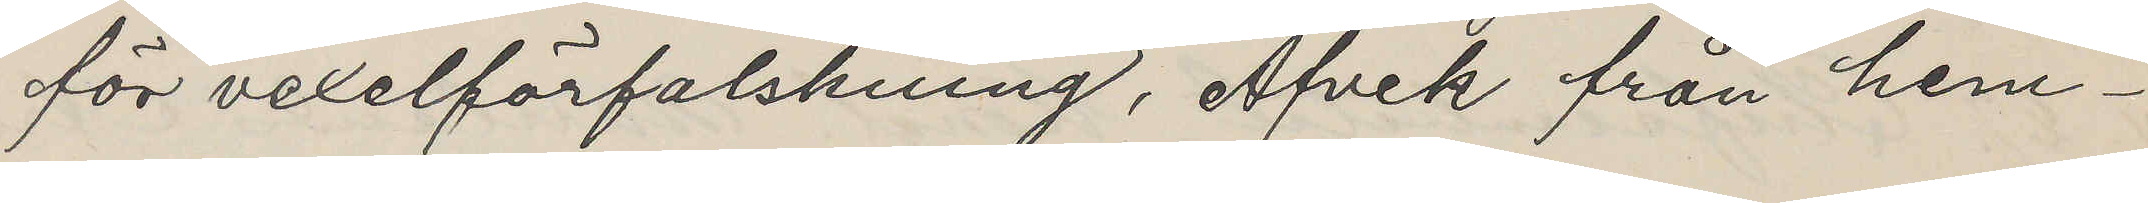för vexelförfalskning, Afvek från hem¬
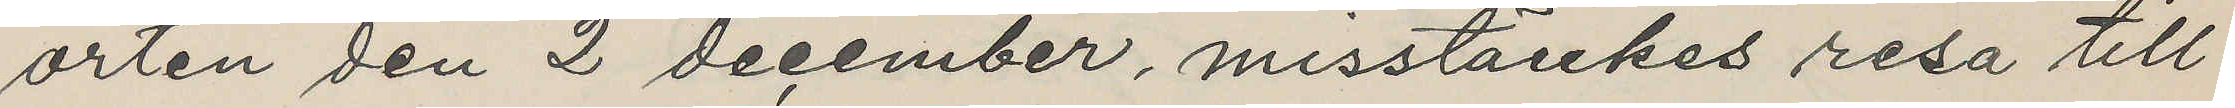orten den 2 december, misstänkes resa till
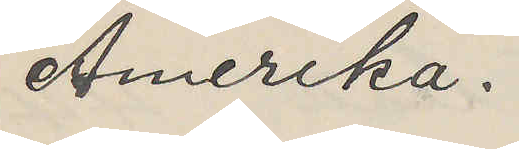Amerika.
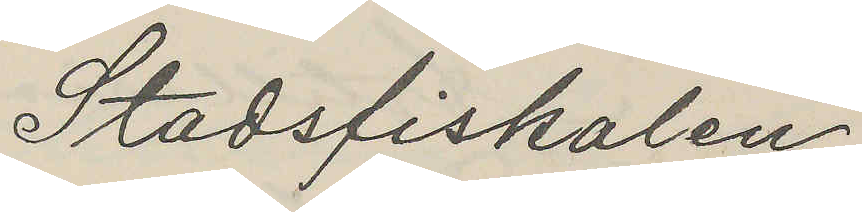Stadsfiskalen.
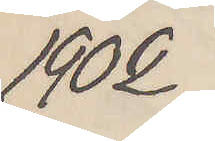1902
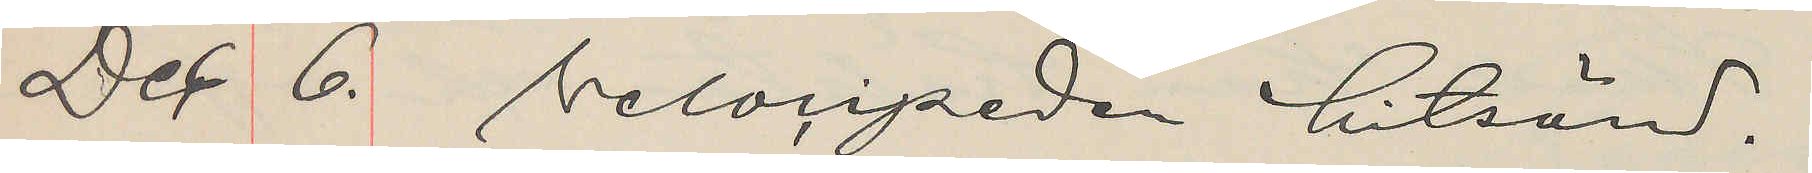Dec 6. Velocipeden hitsänd.
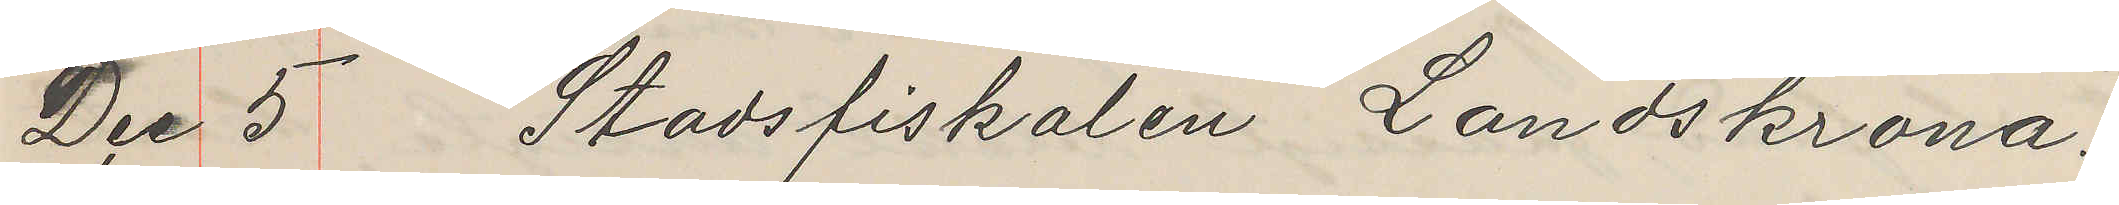Dec 5 Stadsfiskalen Landskrona.
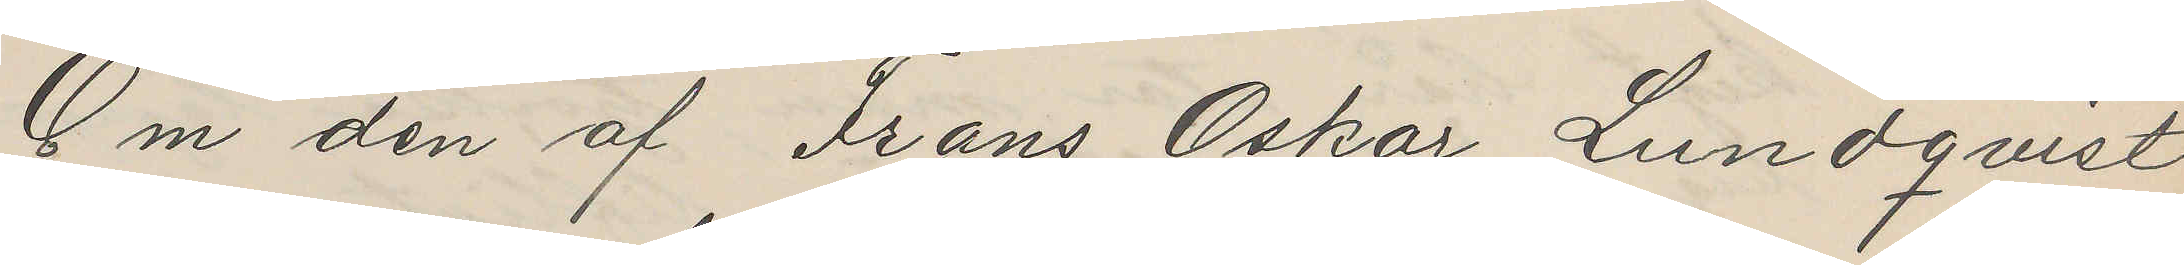Om den af Frans Oskar Lundqvist
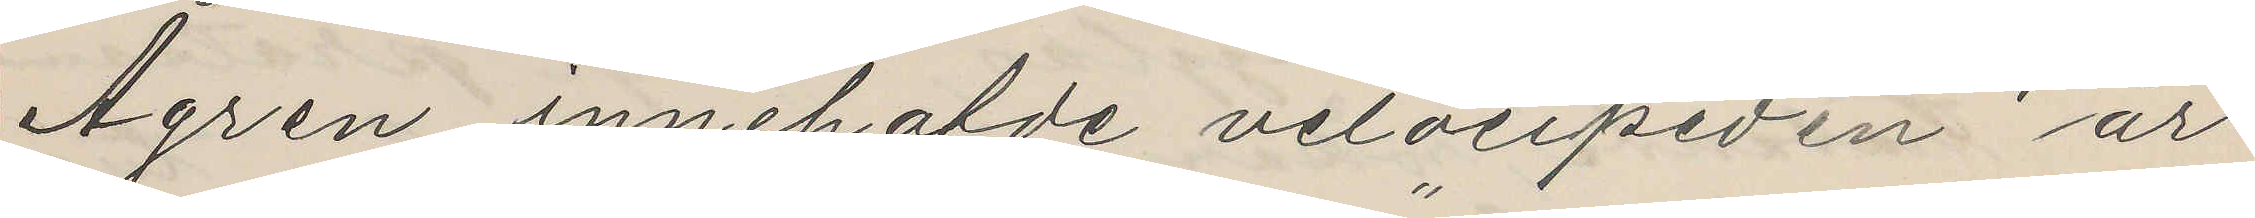Ågren innehafde velocipeden är
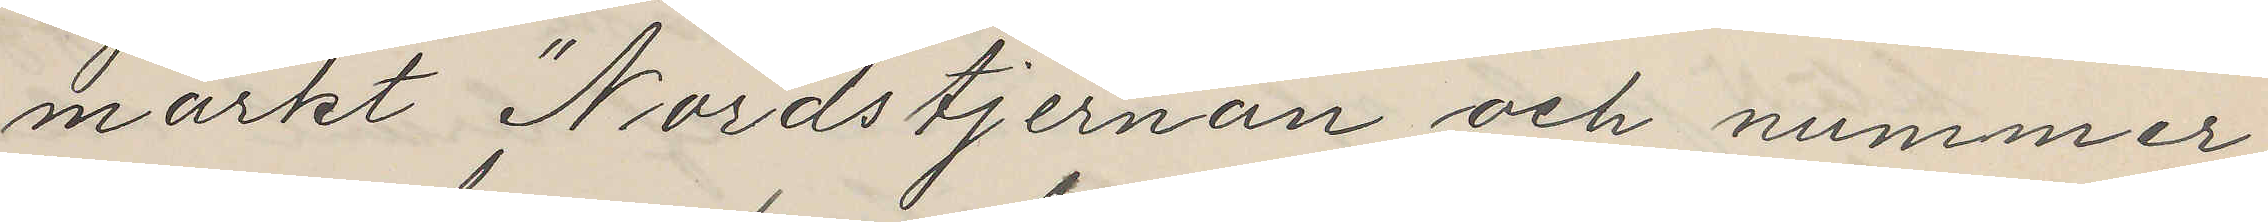märkt "Nordstjernan" och nummer
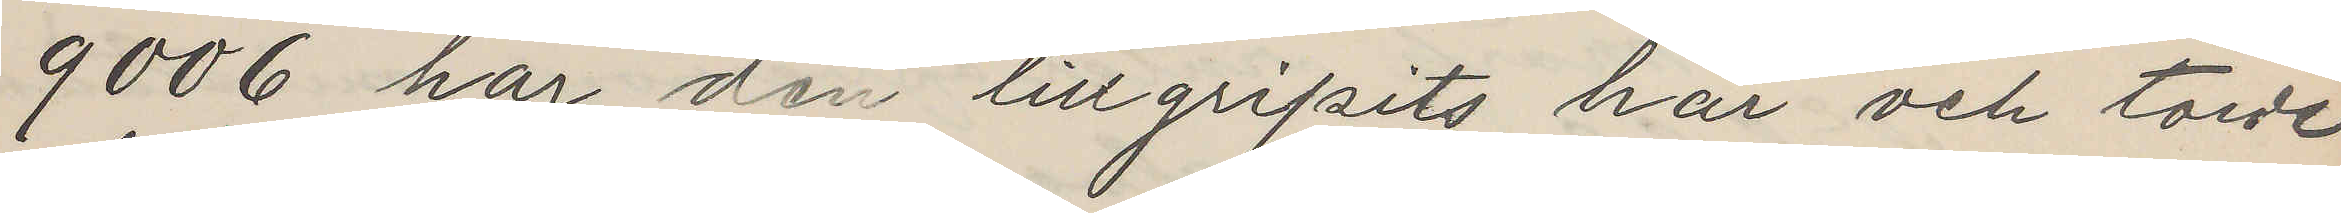9006 har den tillgripits här och torde
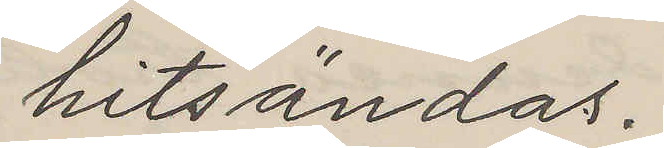hitsändas.
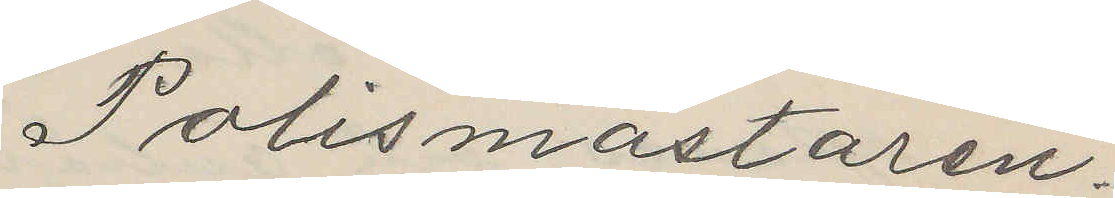Polismästaren.
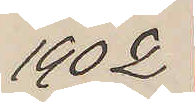1902
